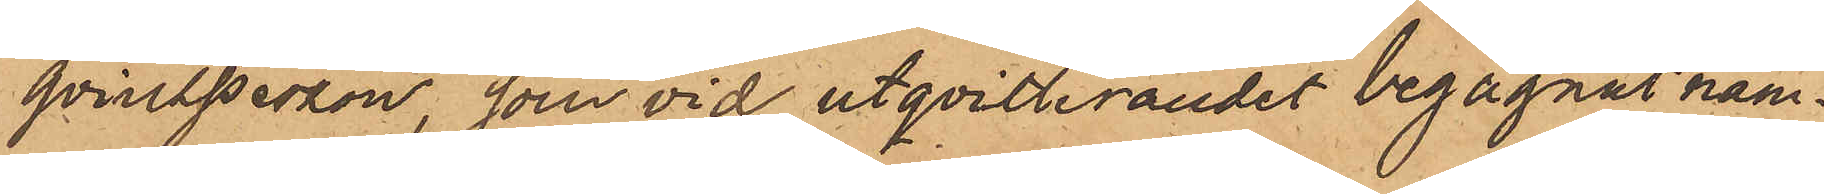qvinsperson, som vid utqvitterandet begagnat nam¬
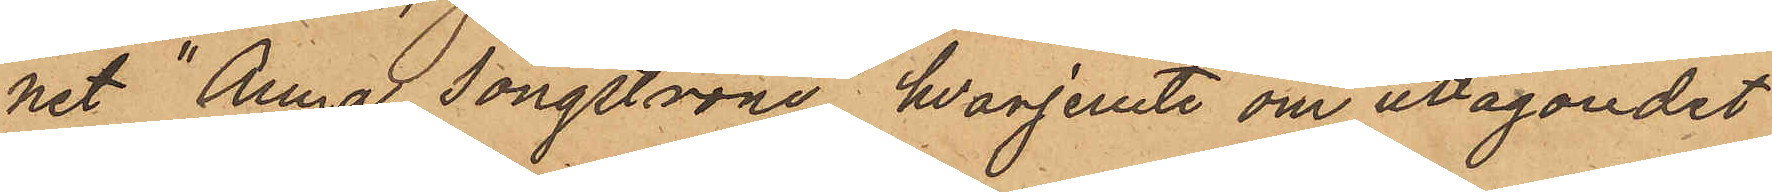net "Anna Jongström", hvarjemte om uttagandet
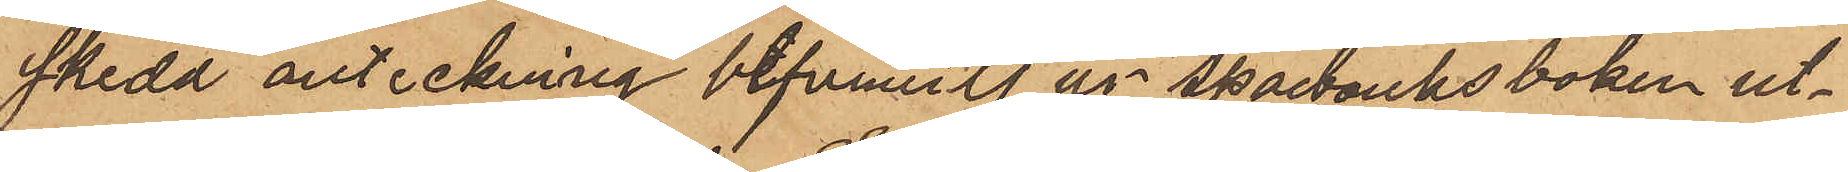skedd anteckning befunnits ur sparbanksboken ut¬
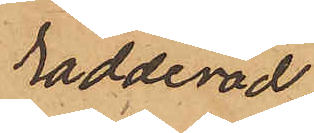radderad
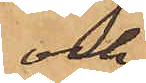och
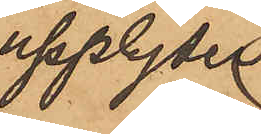upplyser
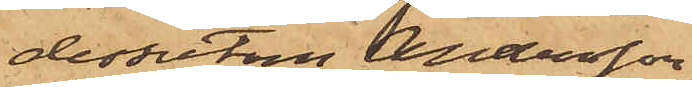dessutom Andersson
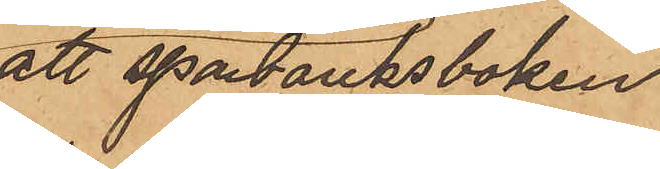att sparbanksboken
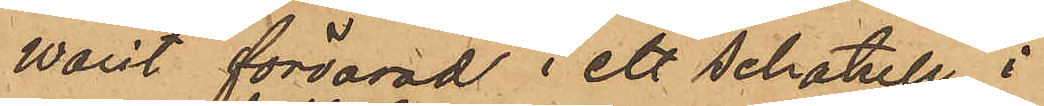varit förvarad i ett schatull i
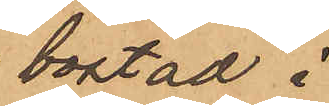bostad i
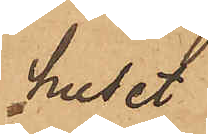huset
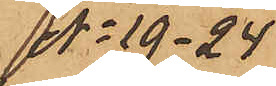No 19- 24
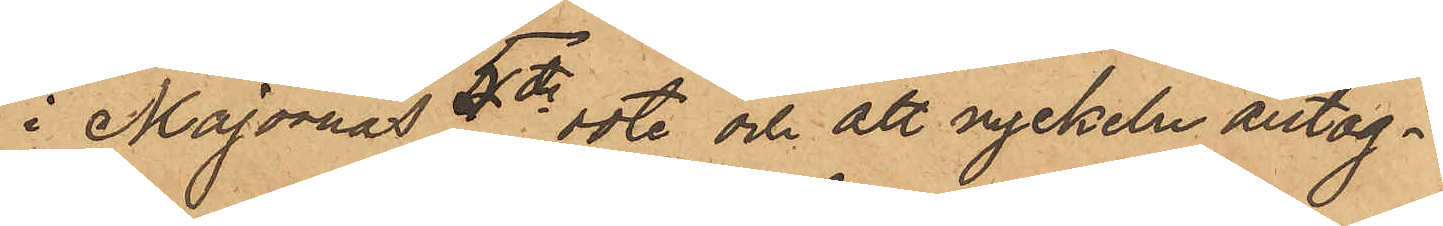i Majornas 5te rote och att nyckeln antag¬
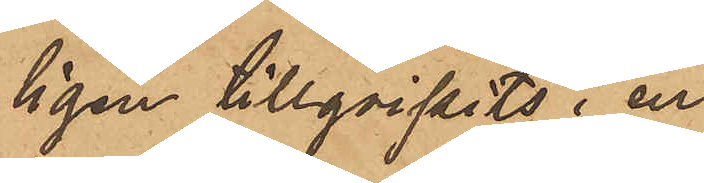ligen tillgripits i en
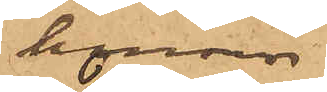honom
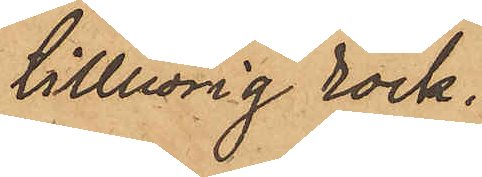tillhörig rock.
